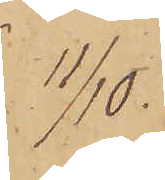11/10.
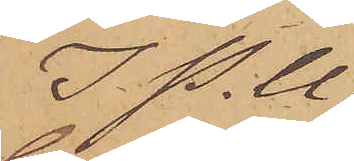I P. U
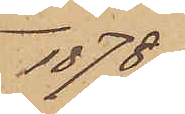1878
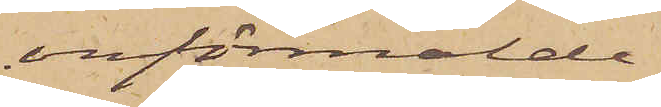omförmälde
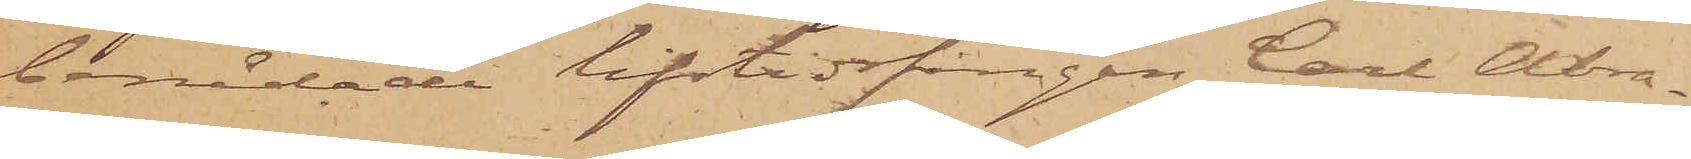benådade lifstidsfången Carl Abra¬
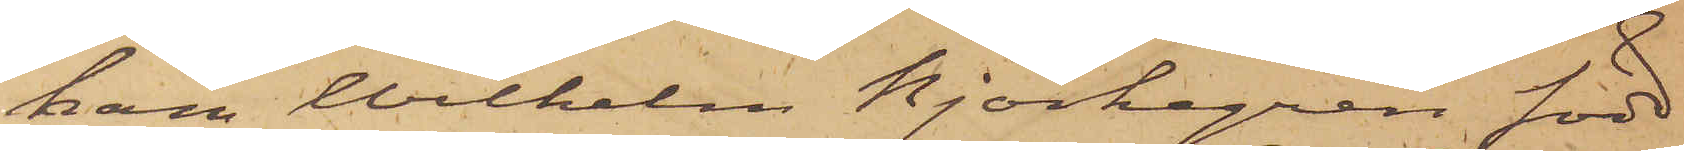ham Wilhelm Björkegren född
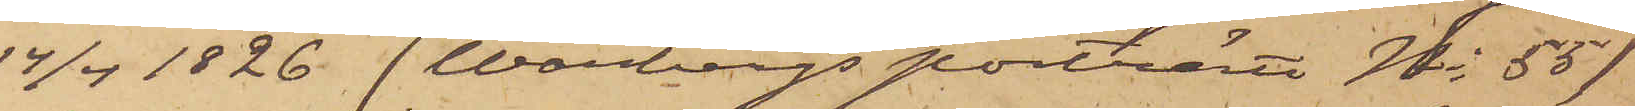14/4 1826 (Warbergs porträtt No 55)
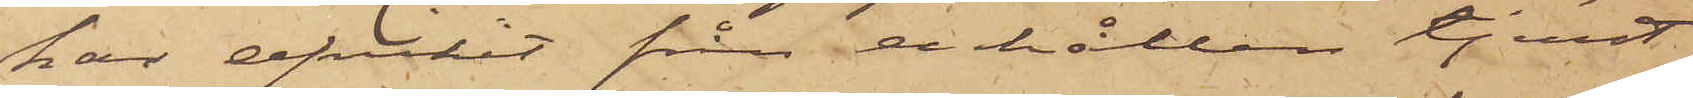har afvikit från erhållen tjenst
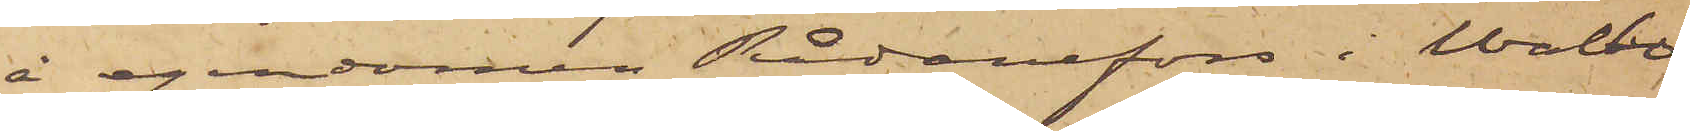å egendomen Rådanefors i Walbo
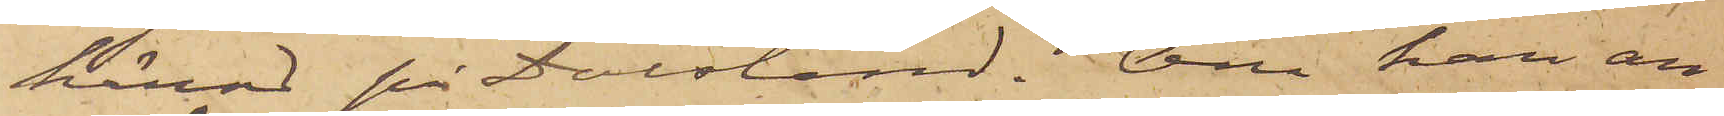härad på Dalsland. Om han an¬
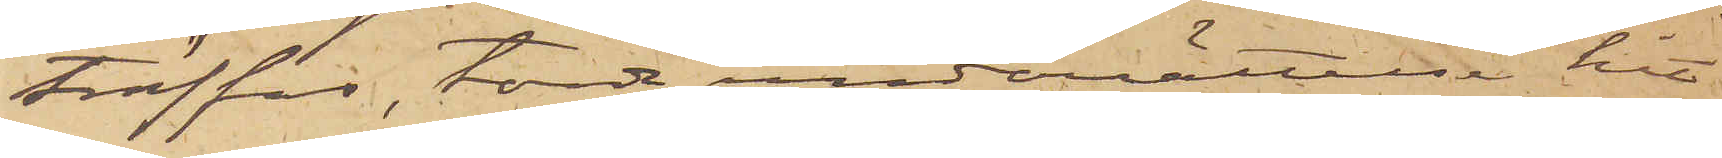träffas, torde underrättelse hit
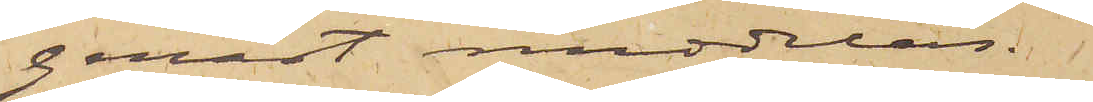genast meddelas.
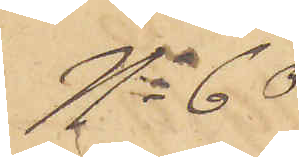No 60
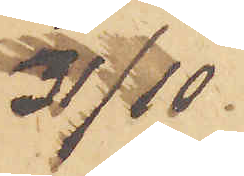31/10.
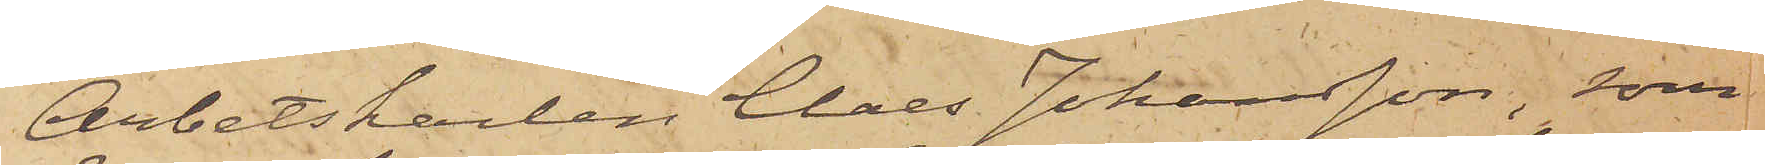Arbetskarlen Claes Johansson, som
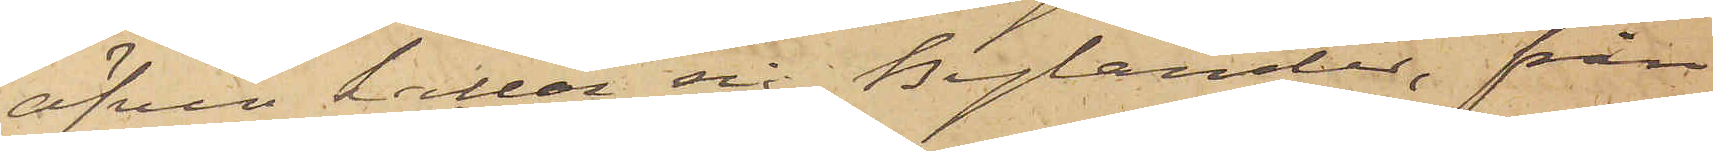äfven kallar sig Bylander, från
